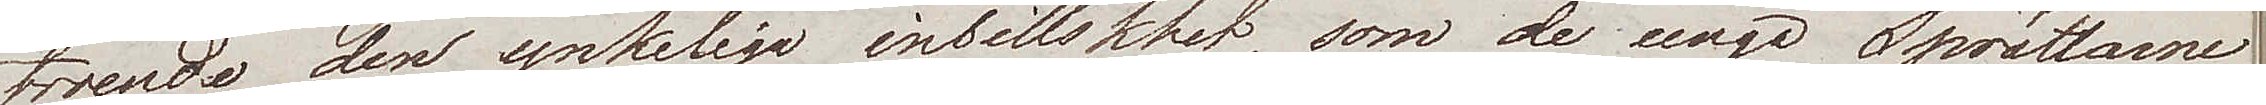troende den ynkeliga inbillskhet, som de unga Sprättarne
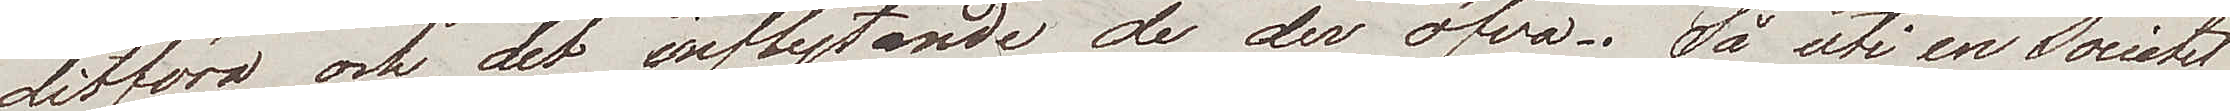ditföra och det inflytande de der öfva. Så uti en Societet
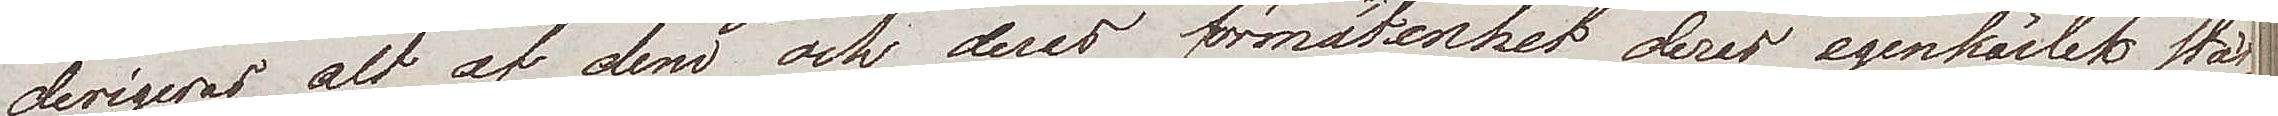derigeras alt af dem och deras förmätenhet deras egenkärlek stäl¬
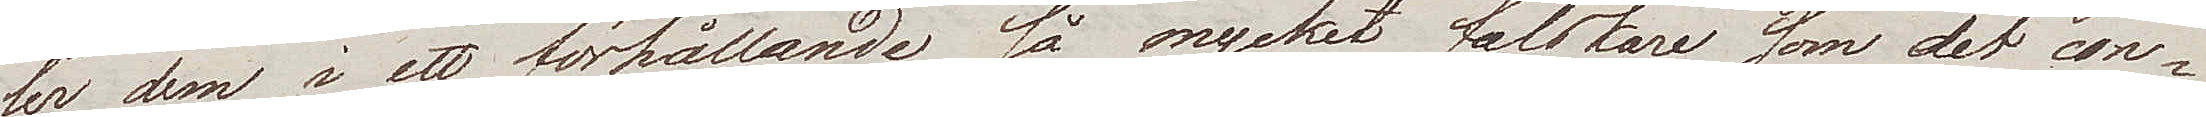ler dem i ett förhållande så mycket falskare som det con¬
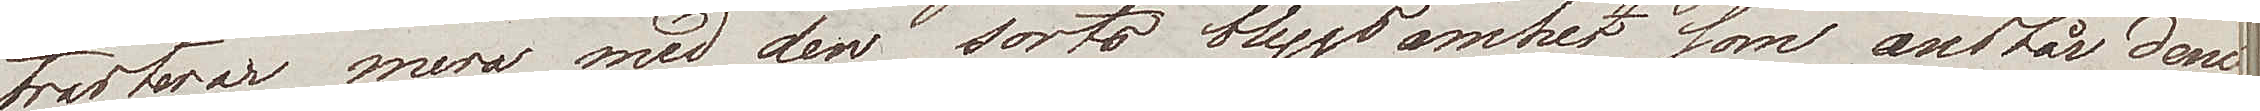trasterar mera med den sorts blygsamhet som anstår dem
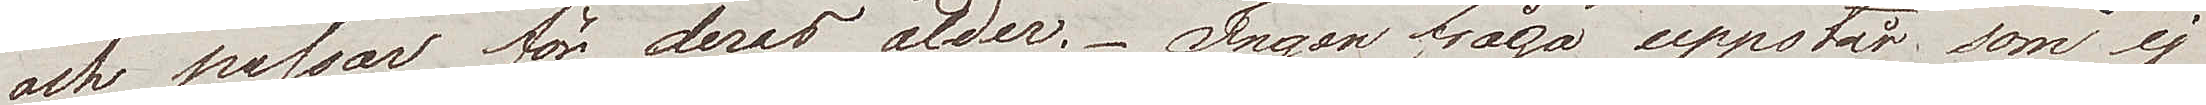och passar för deras ålder. Ingen fråga uppstår som ej
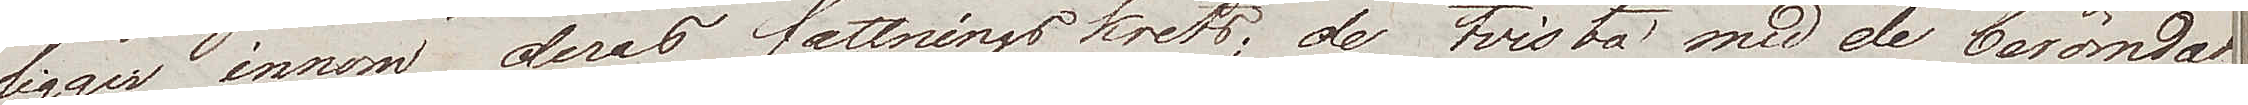ligger innom deras fattningskrets; de tvista med de berömdas¬
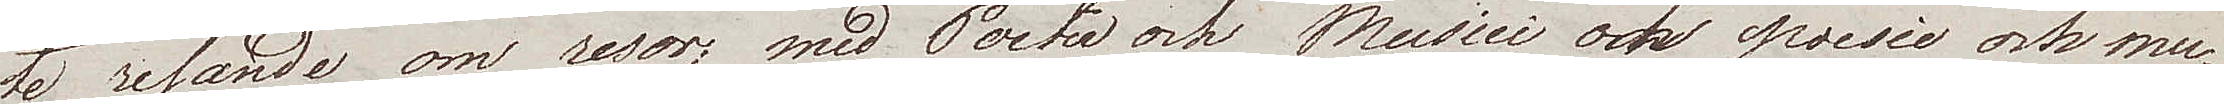te resande om resor; med Poeter och Musici om poesie och mu¬
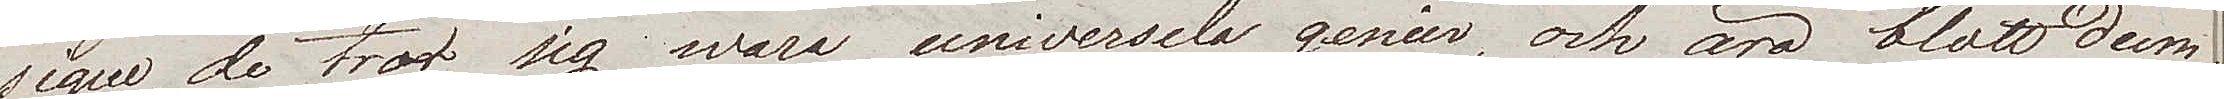sique, de tror sig wara universela genier, och äro blott dum¬
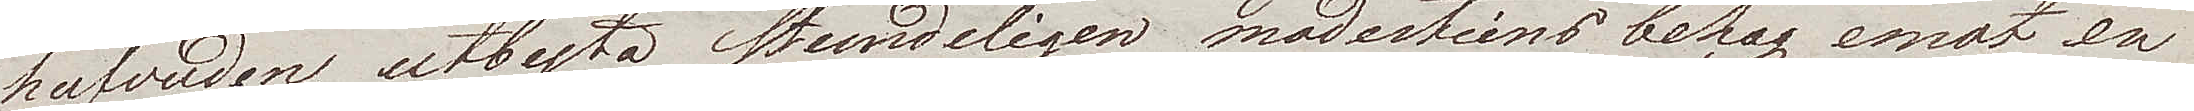hufvuden, utbyta stundeligen modestiens behag emot en
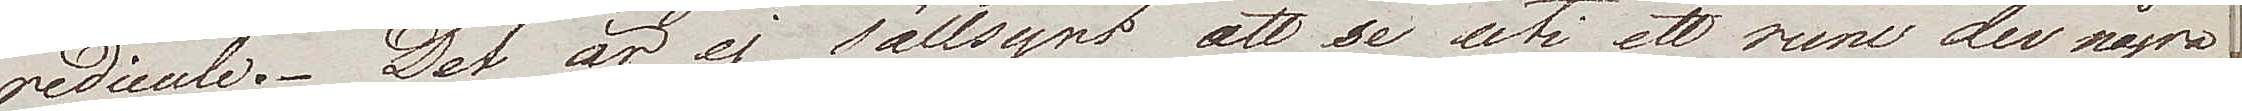redicule. Det är ej sällsynt att se uti ett rum der några
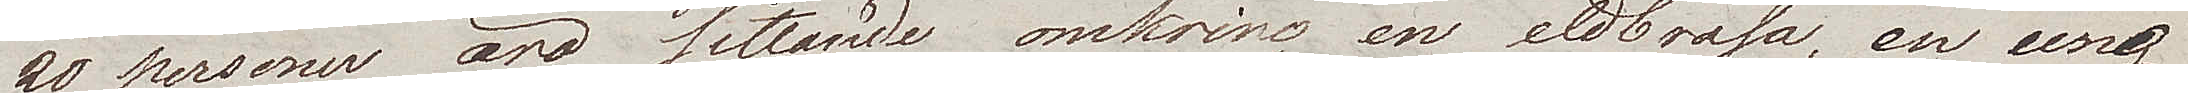20 personer äro sittande omkring en eldbrasa, en ung
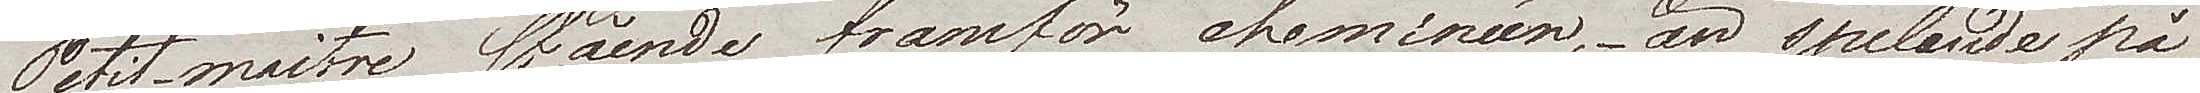Petit-maitre stående framför cheminéen, – än spelande på
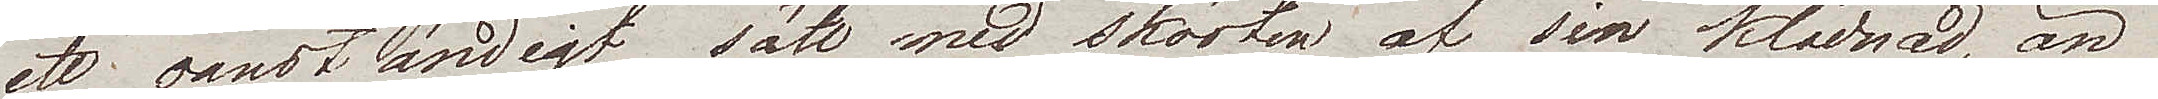ett oanständigt sätt med skörten av sin klädnad, än
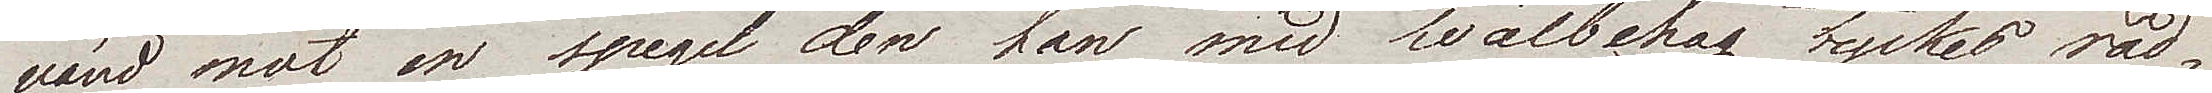vänd mot en spegel den han med wälbehag tyckes råd¬
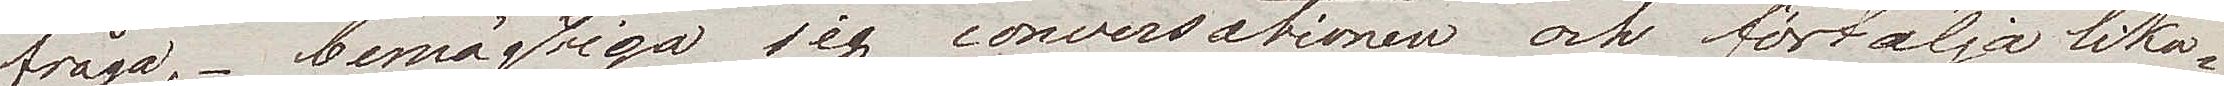fråga, – bemäktiga sig conversationen och förtälja lika¬
